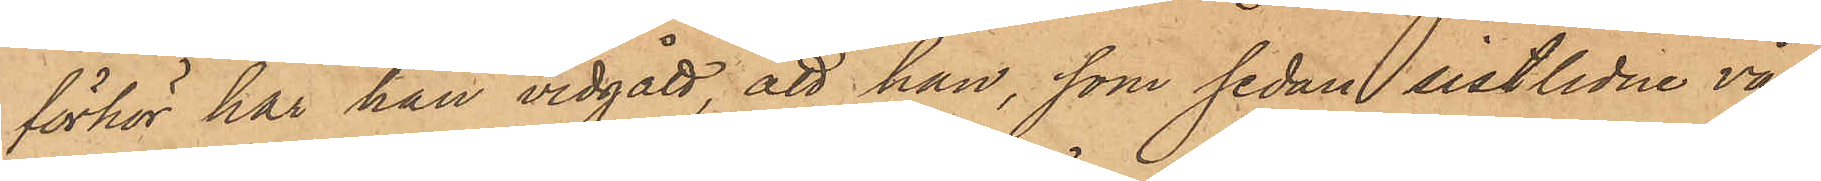förhör har han vidgått, att han, som sedan sistlidne vår
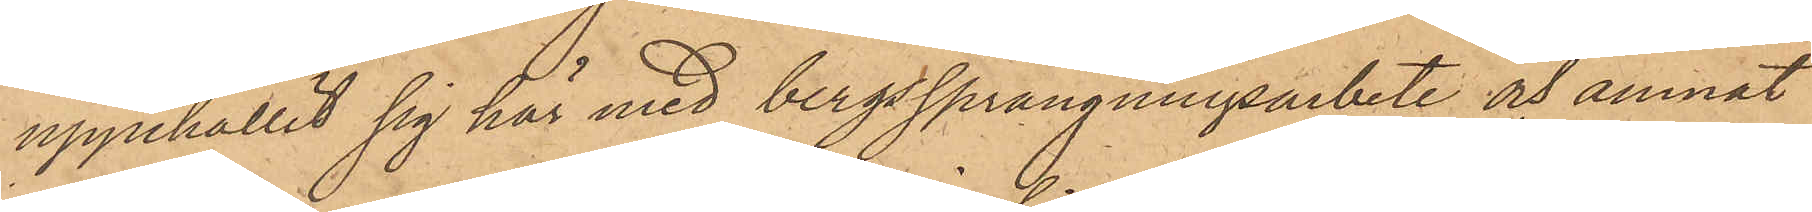uppehållit sig här med bergssprängningsarbete och ämnat
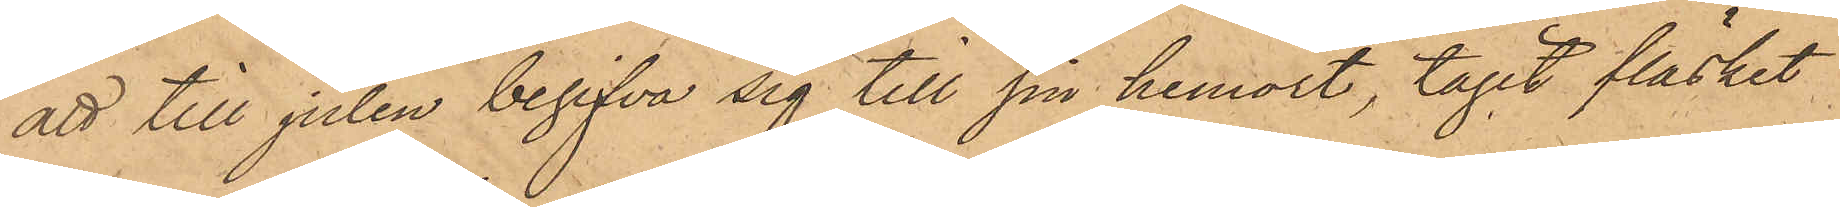att till julen begifva sig till sin hemort, tagit fläsket
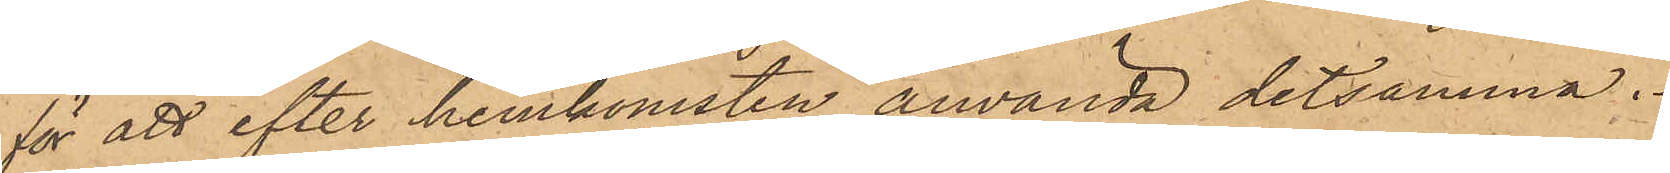för att efter hemkomsten använda detsamma.
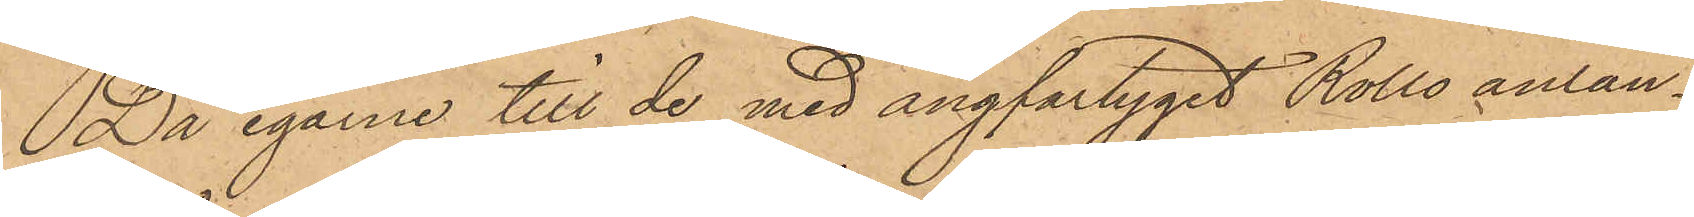Då egarne till de med ångfartyget "Rollo" anlän¬
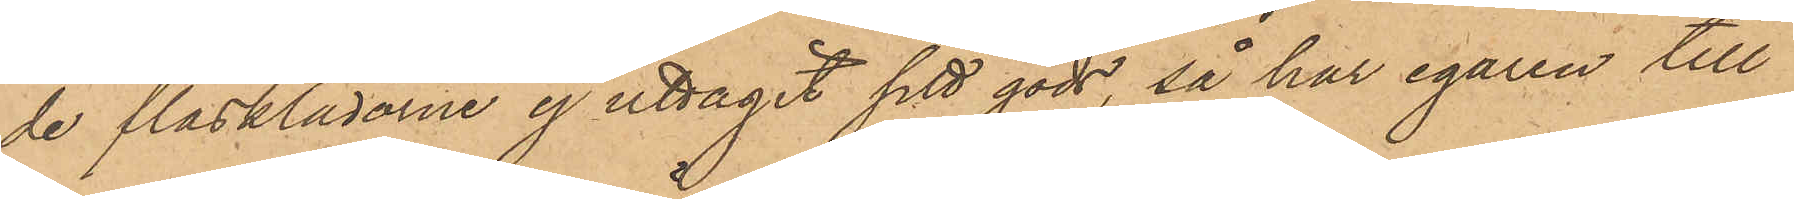de fläsklådorne ej uttagit sitt gods, så har egaren till
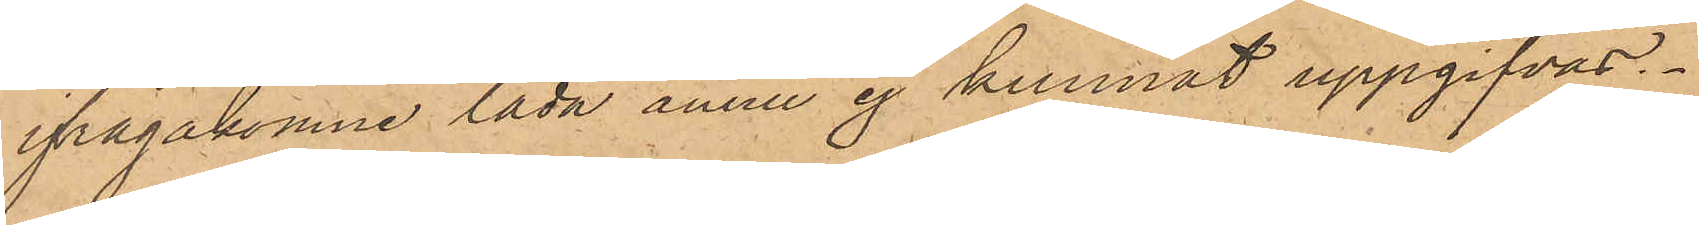ifrågakomne låda ännu ej kunnat uppgifvas.
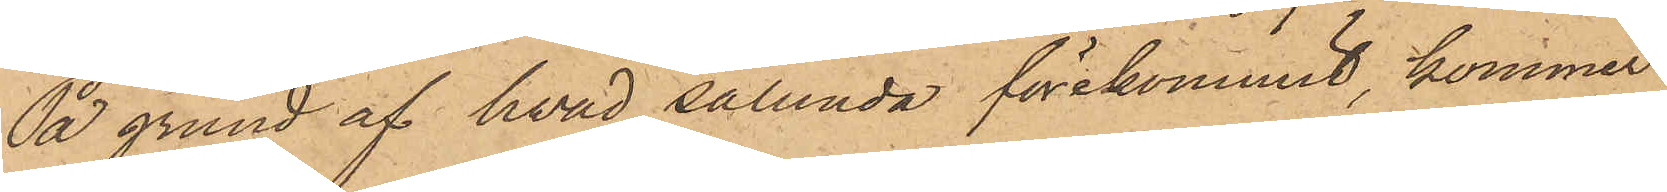På grund af hvad sålunda förekommit, kommer
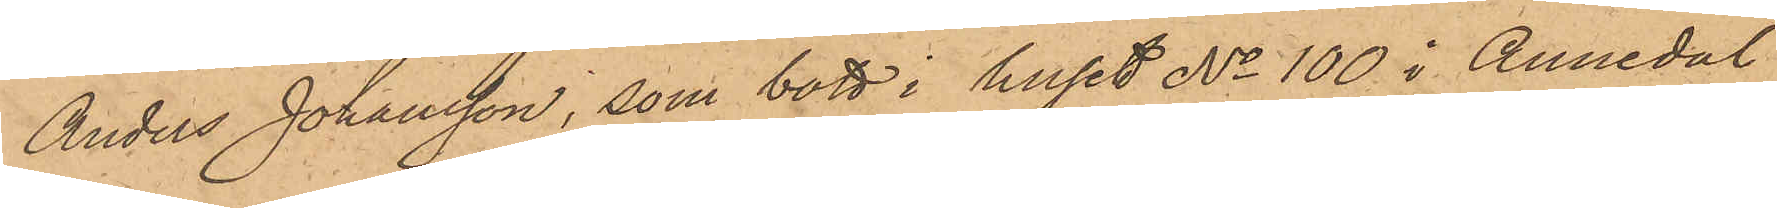Anders Johansson, som bott i huset No 100 i Annedal
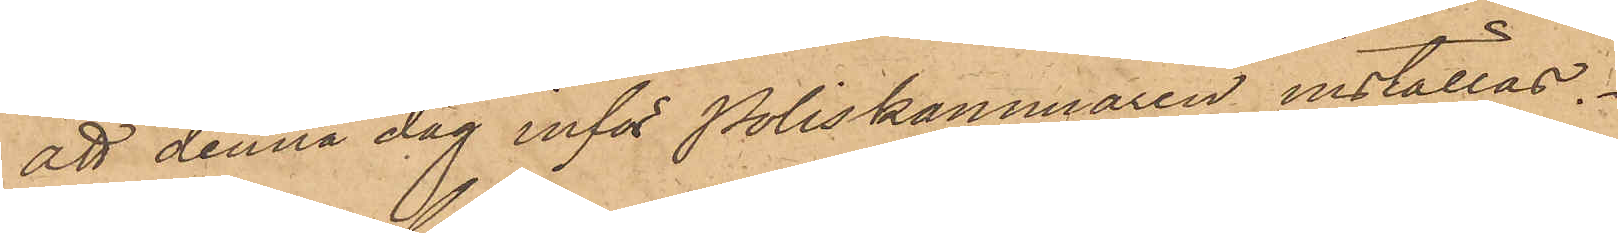att denna dag inför Poliskammaren inställas.
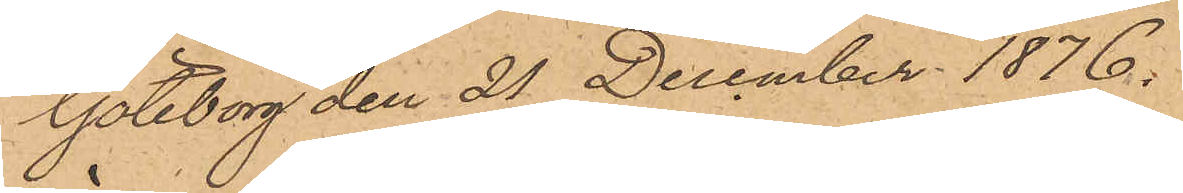Göteborg den 21 December 1876.
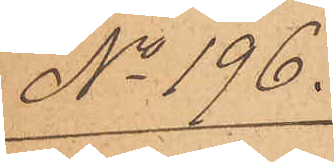No 196.
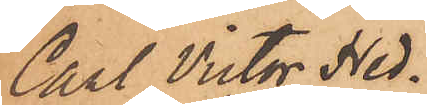Carl Victor Hed¬
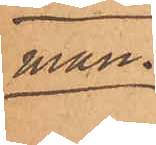man.
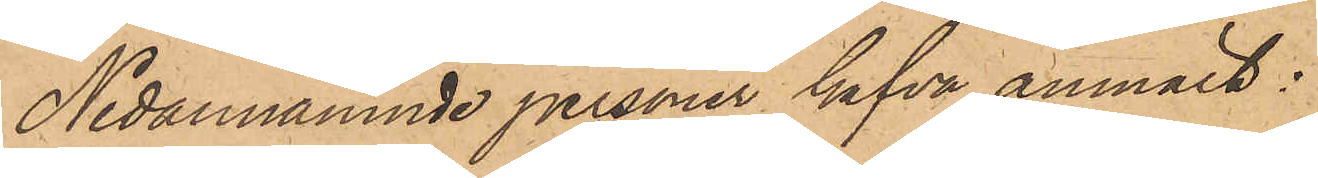Nedannämnde personer hafva anmält:
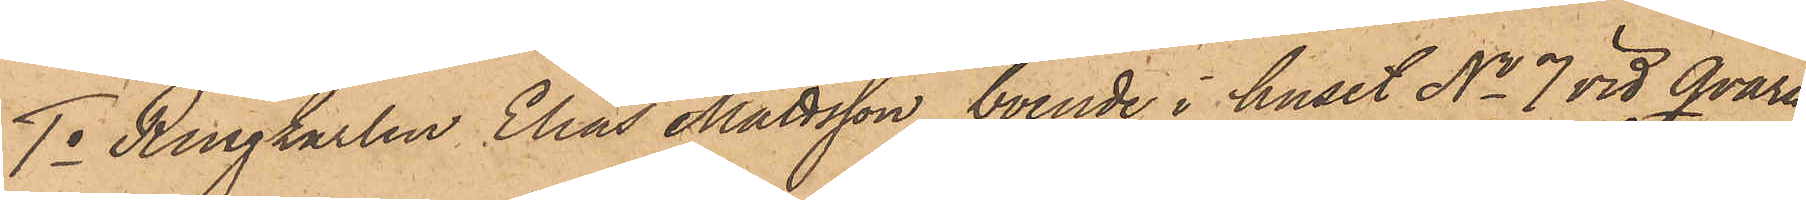1o Ringkarlen Elias Mattsson, boende i huset No 7 vid Qvarn¬
